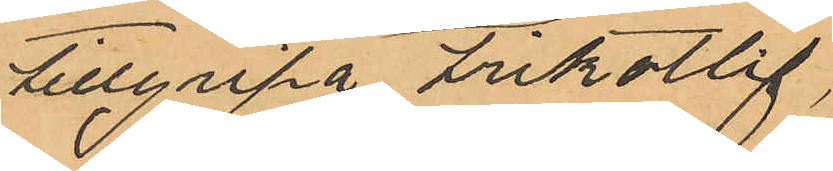tillgripa trikotlif,
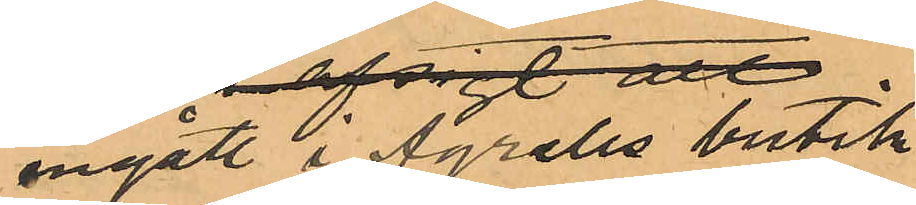ingått i Agrells burik
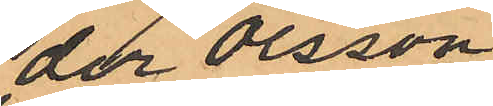der Olsson
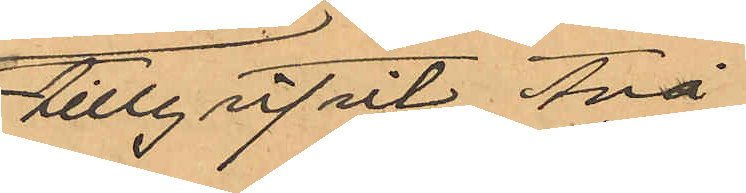tillgripit två
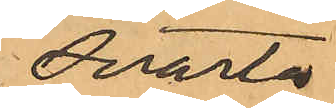svarta
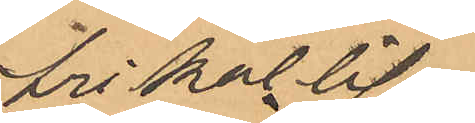trikotlif
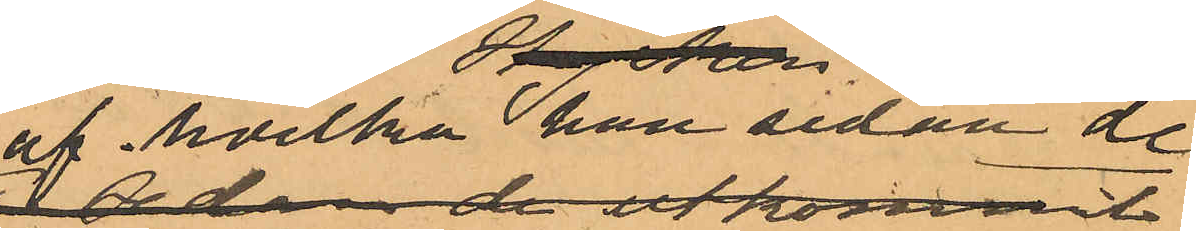af hvilka hon sedan de
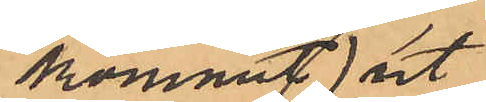kommit ut
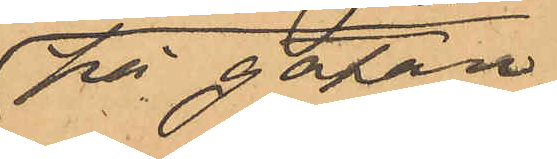på gatan
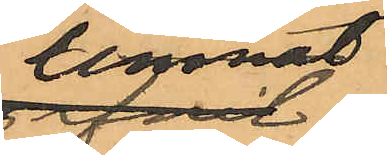lemnat
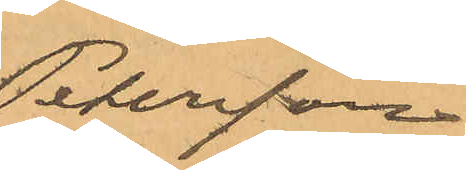Petersson
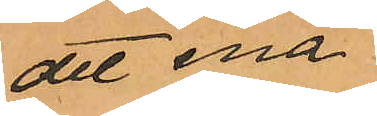det ena
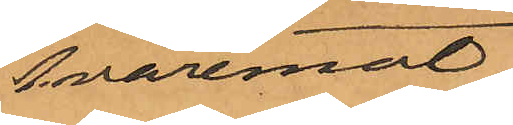hvaremot
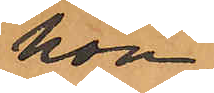hon
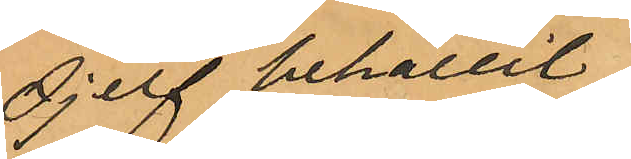sjelf behållit
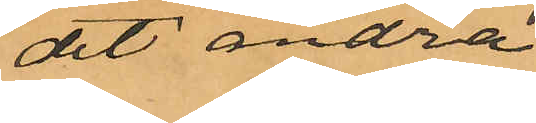det andra
